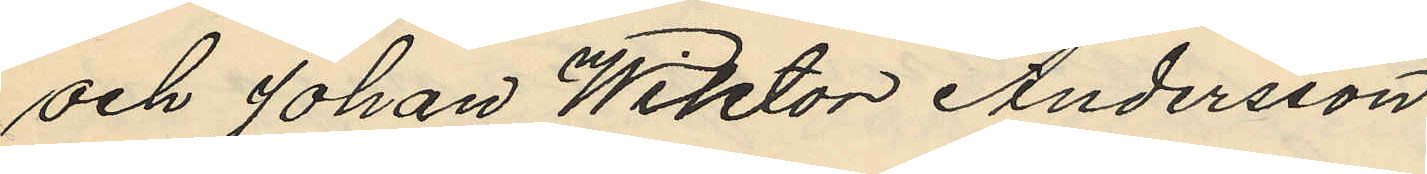och Johan Wiktor Andersson
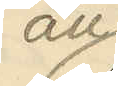att
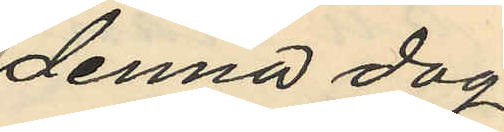denna dag
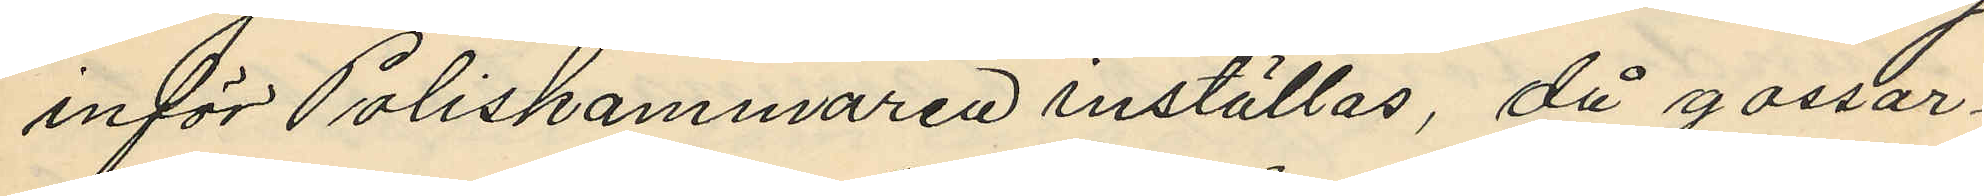inför Poliskammaren inställas, då gossar¬
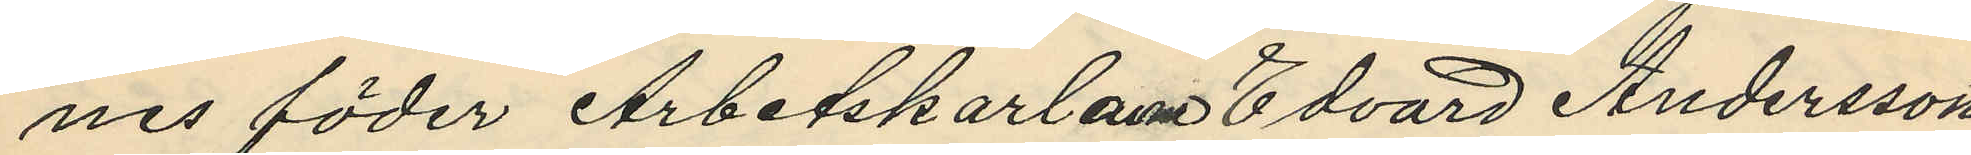nes fäder Arbetskarlarne Edvard Andersson
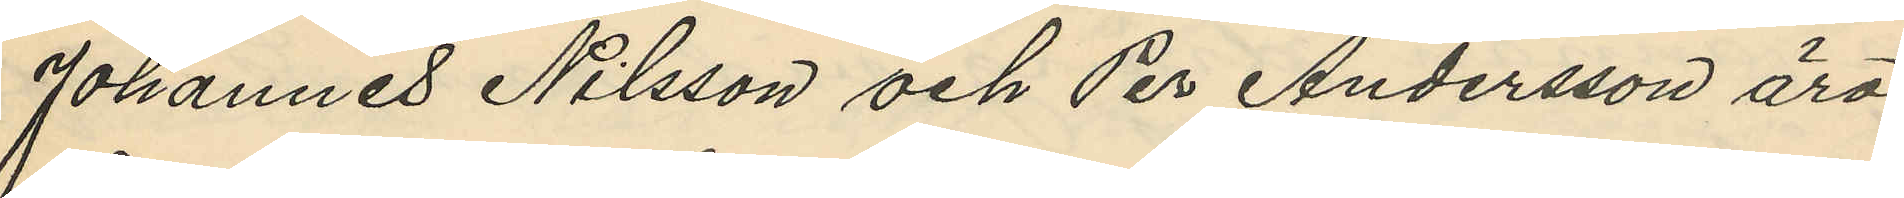Johannes Nilsson och Per Andersson äro
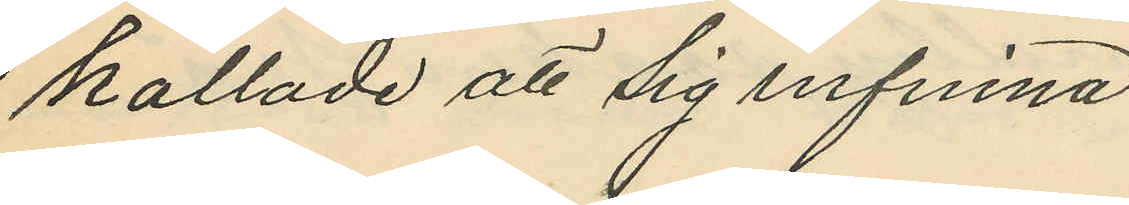kallade att sig infinna.
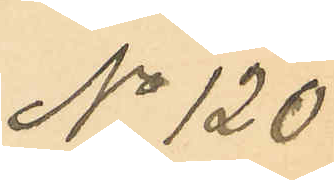No 120.
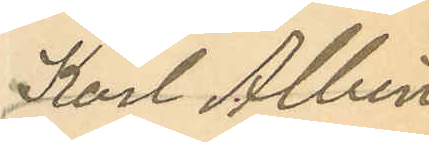Karl Albin
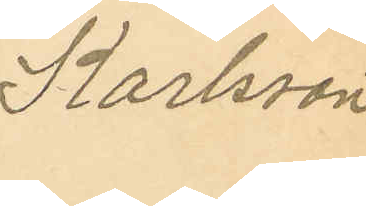Karlsson
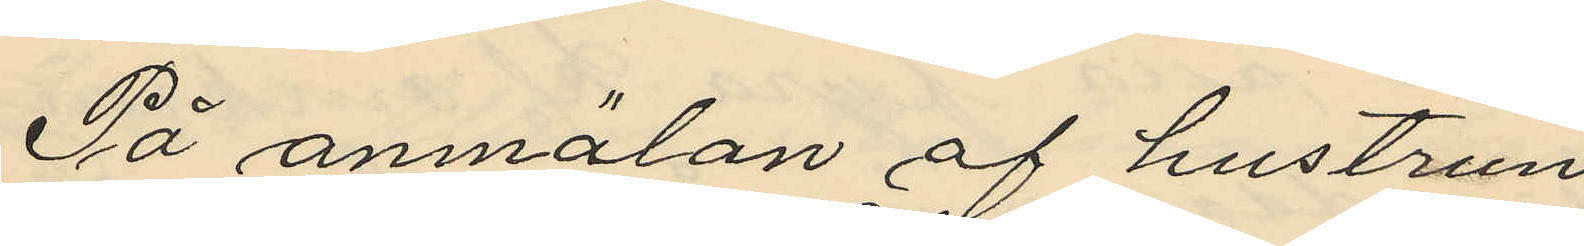På anmälan af hustrun
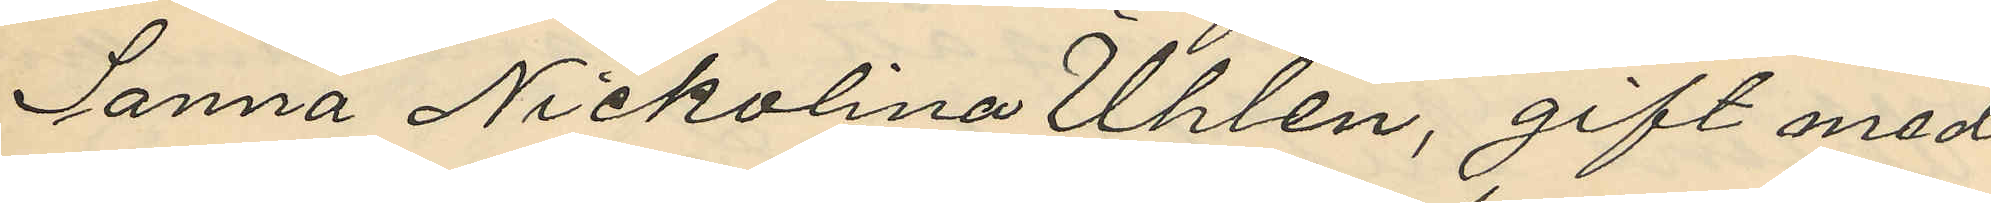Sanna Nickolina Uhlén, gift med
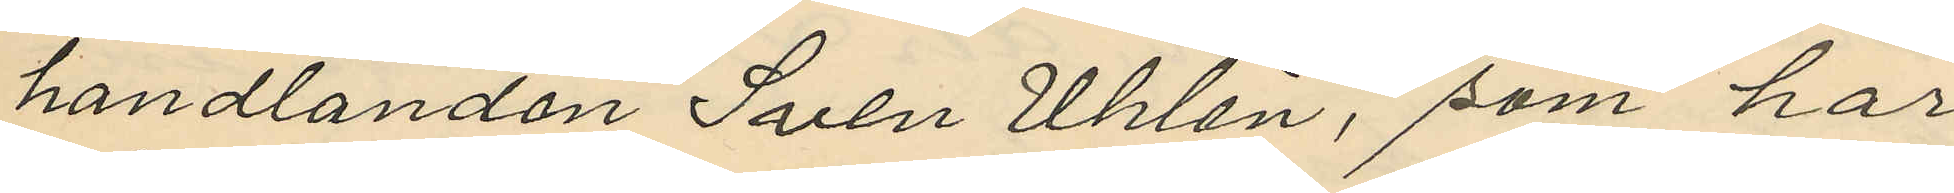handlanden Sven Uhlén, som har
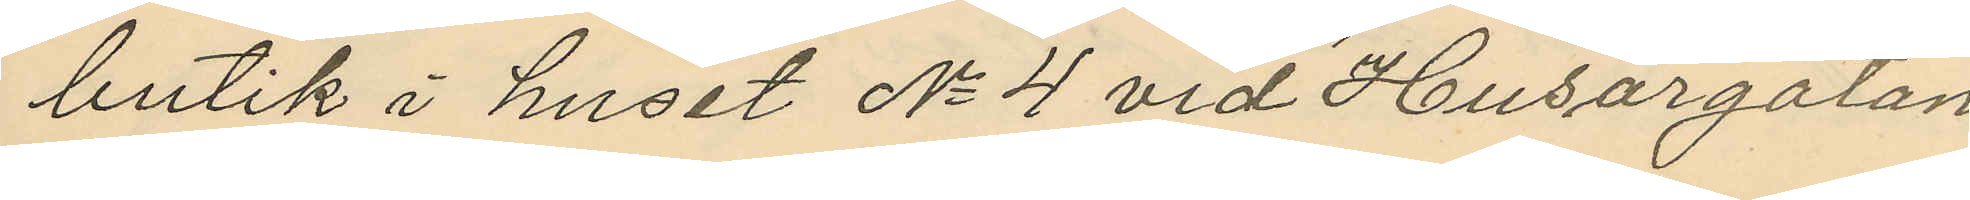butik i huset No 4 vid Husargatan,
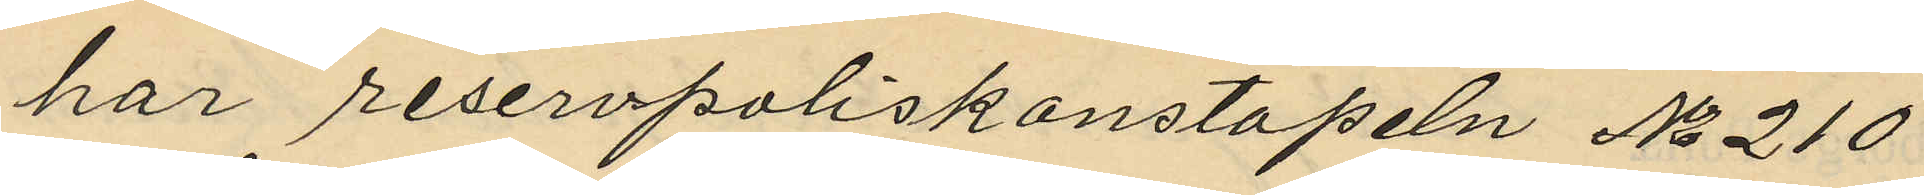har reservpoliskonstapeln No 210
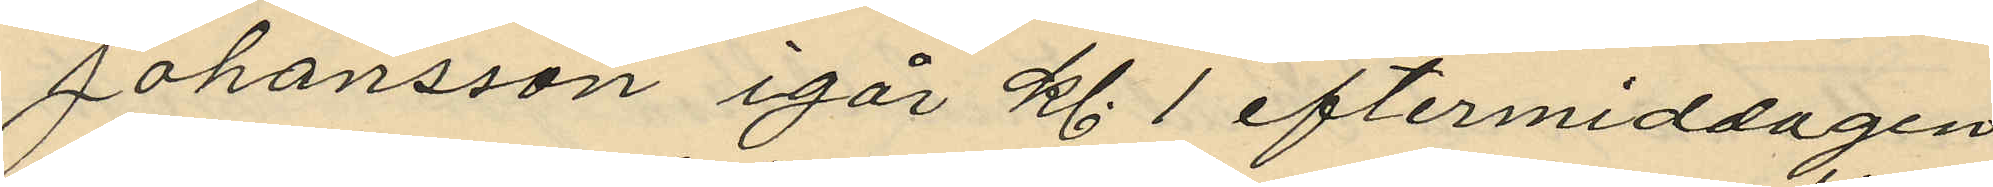Johansson igår kl. 1 eftermiddagen
